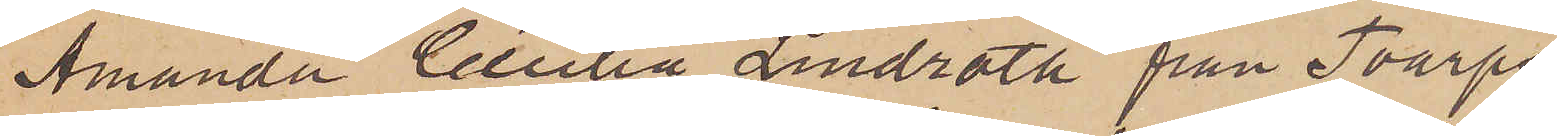Amanda Cecilia Lindroth från Toarps
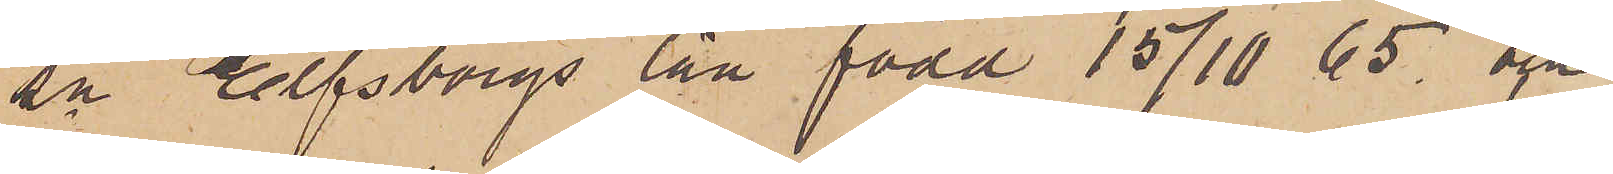sn Elfsborgs län född 15/10 65 och
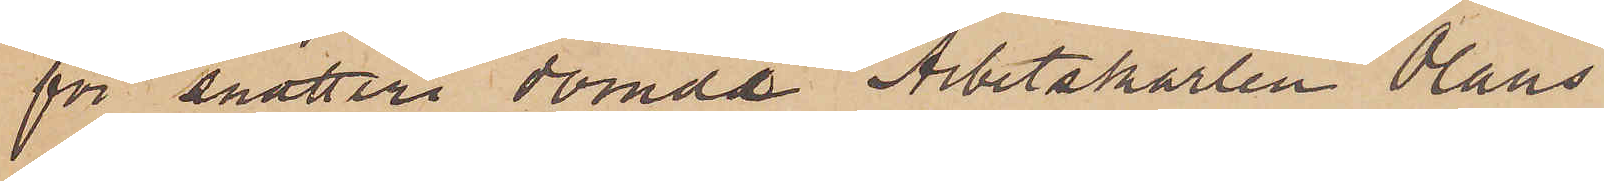för snatteri dömde Arbetskarlen Olaus
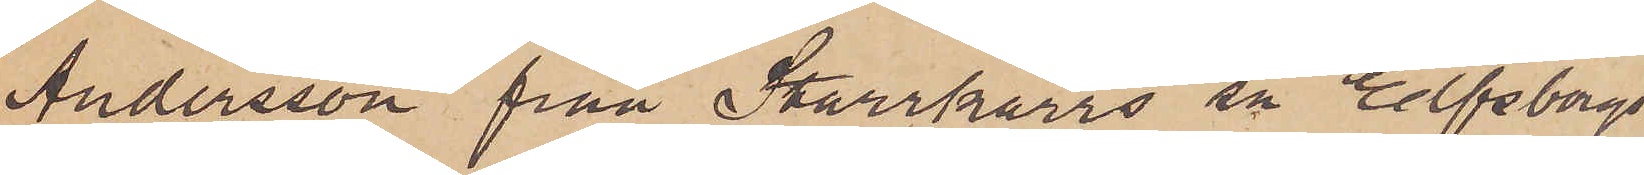Andersson från Starrkärrs sn Elfsborgs
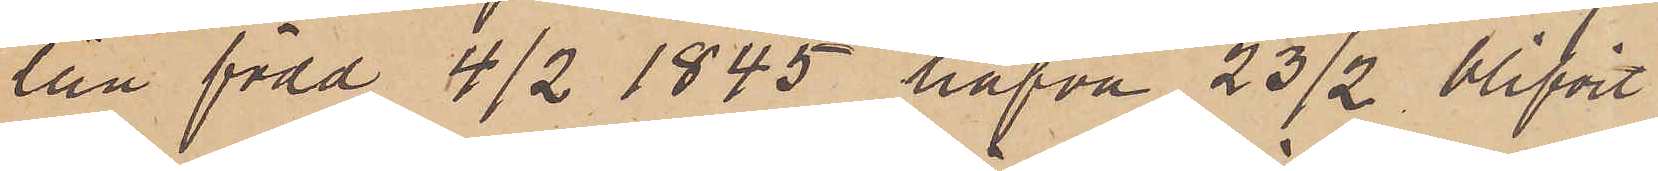län född 4/2 1845 hafva 23/2 blifvit
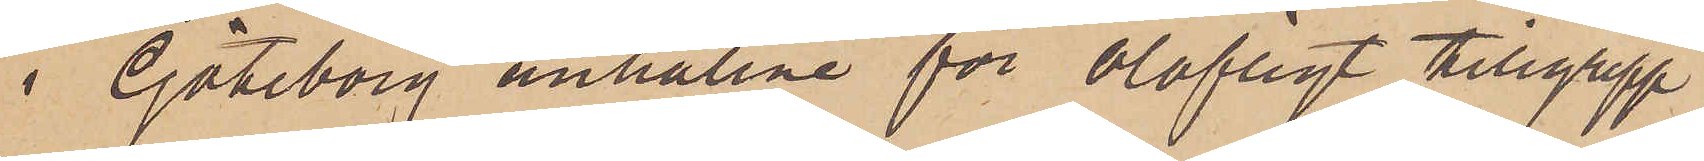i Göteborg anhållne för olofligt tillgrepp
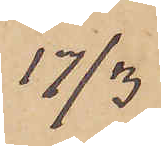17/3
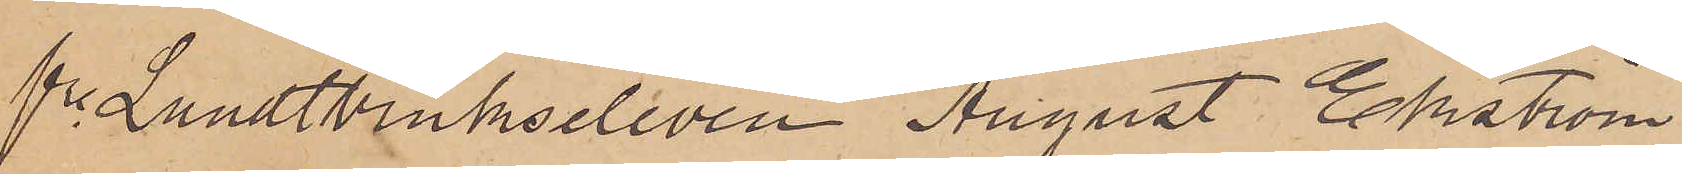fre Landtbrukseleven August Edström
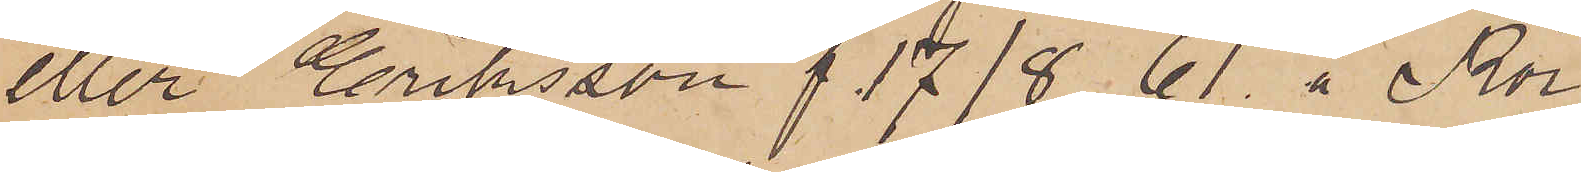eller Eriksson f 17/8 61. å Rör
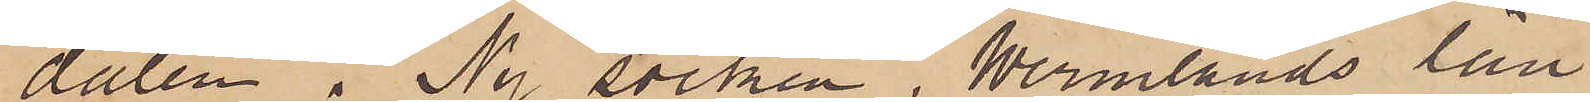dalen i Ny socken, Wermlands län
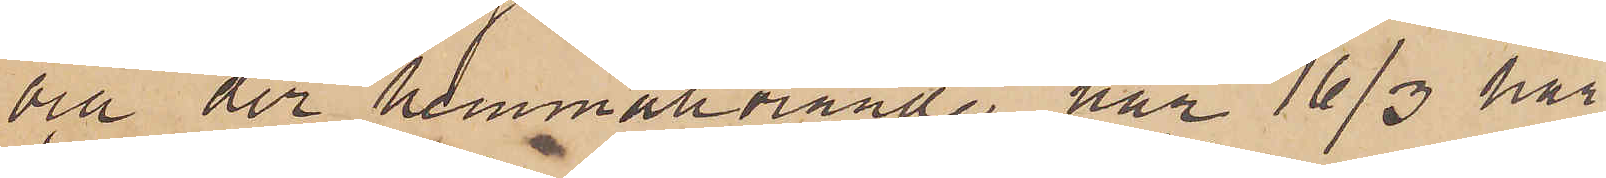och der hemmahörande har 16/3 här
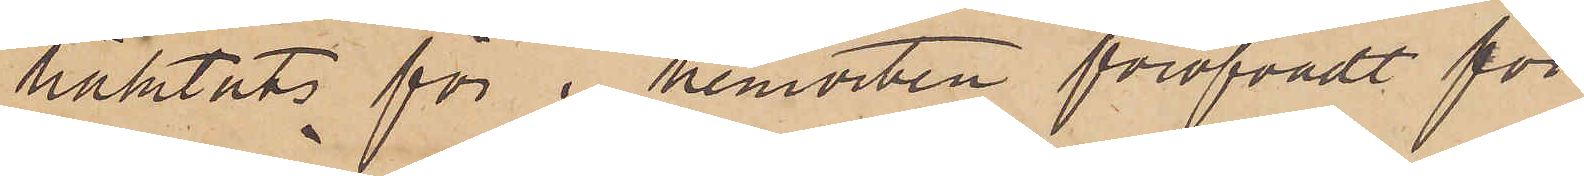häktats för i hemorten föröfvadt för
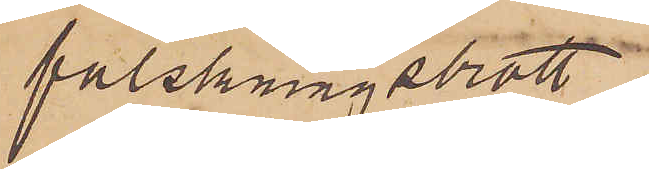falskningsbrott.
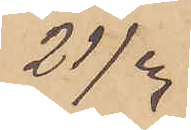21/3
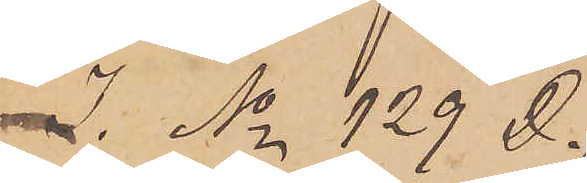I No 129 D.
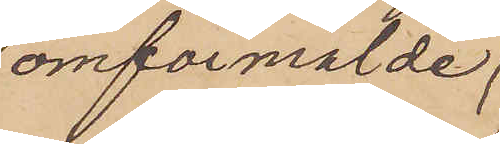omförmälde
